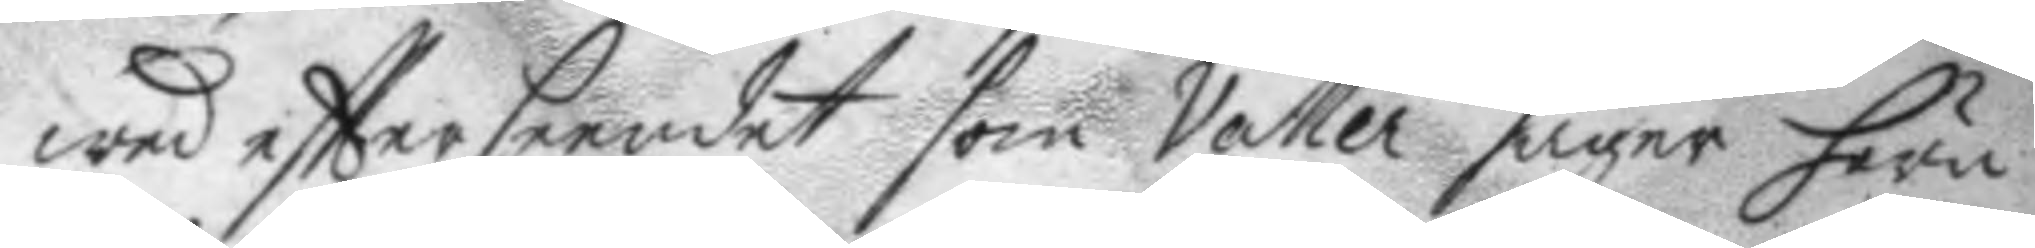wed eftterseendet som Valler säger höra
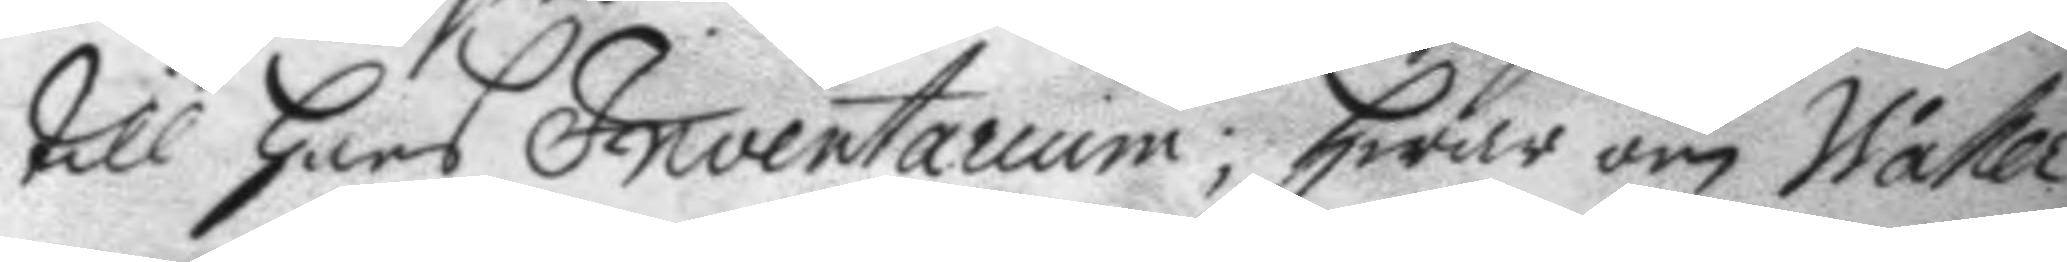till hans Inventarium; hwar om Waller
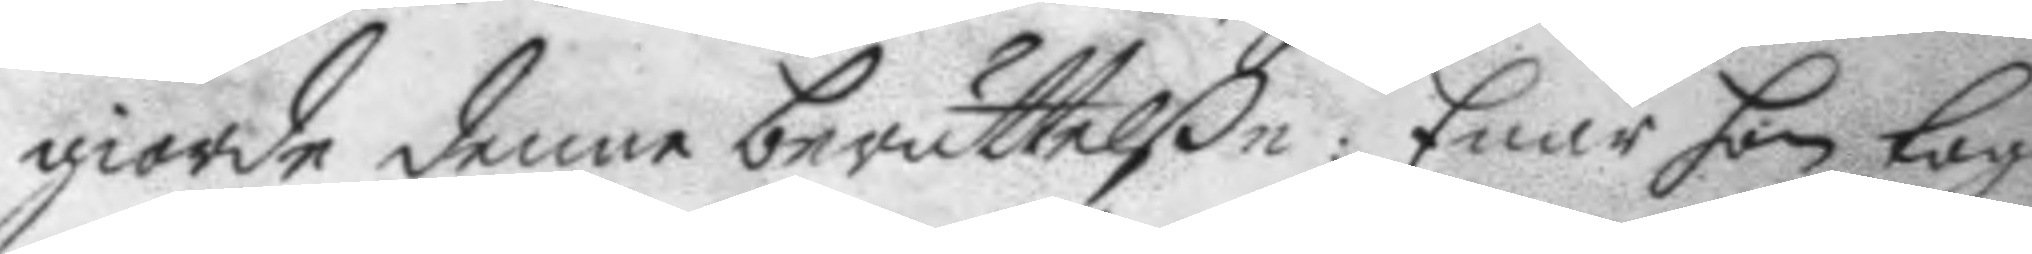giorde denne berättelße: Enär han tog
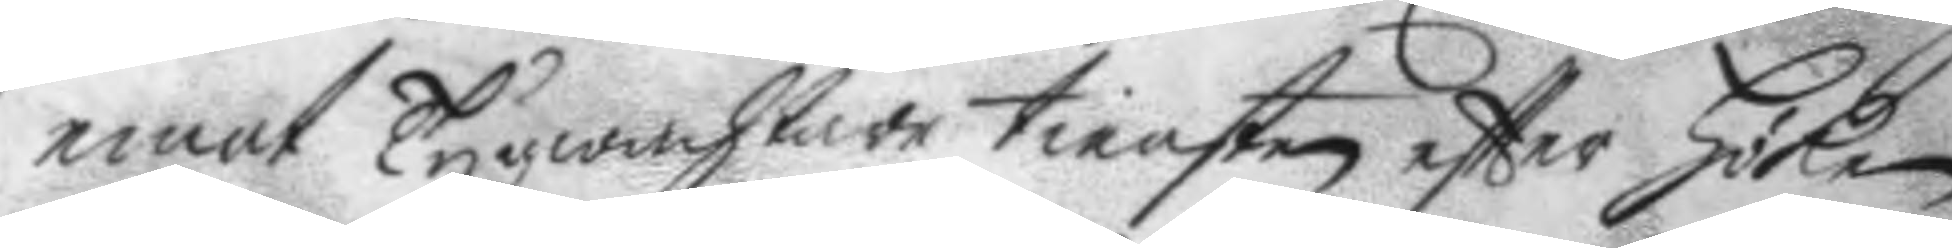emot Tygwachtare tiensten eftter Höken
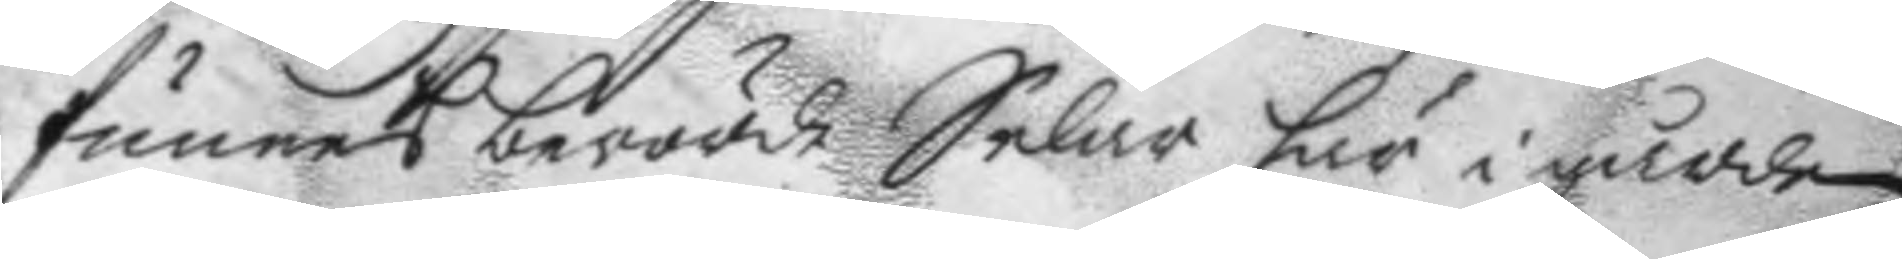funnes berörde Selar hör i gården
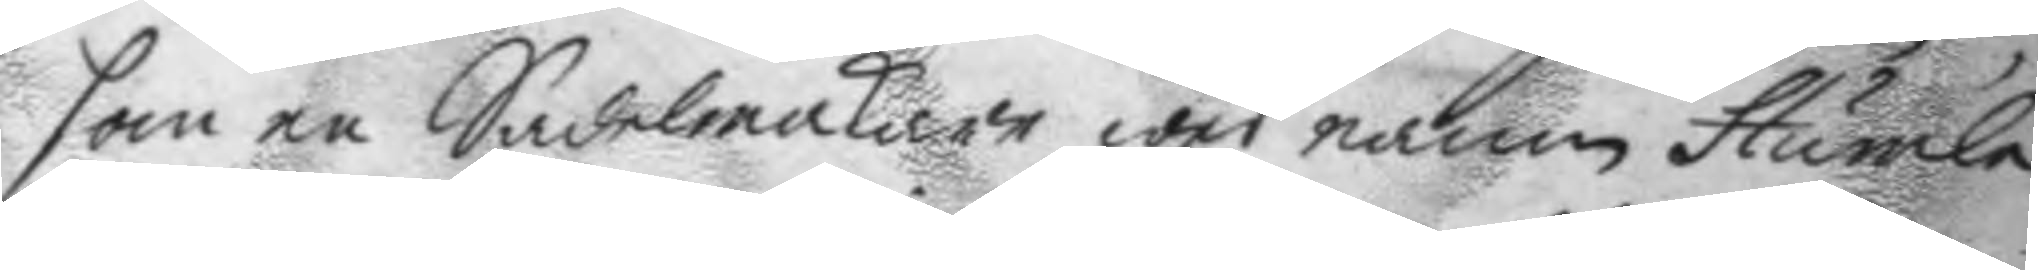som en Sadelmakare wed namn Humla
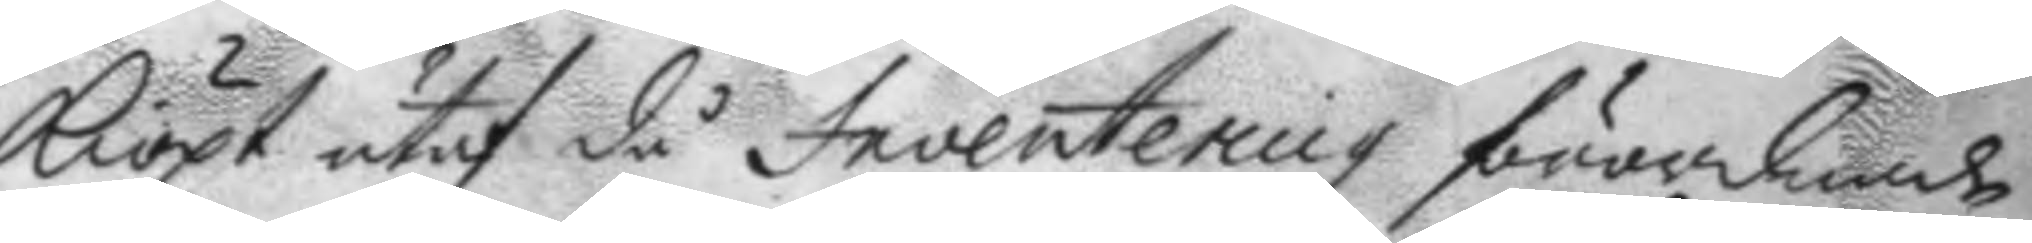kiöpt utaf då Inventering förordnade
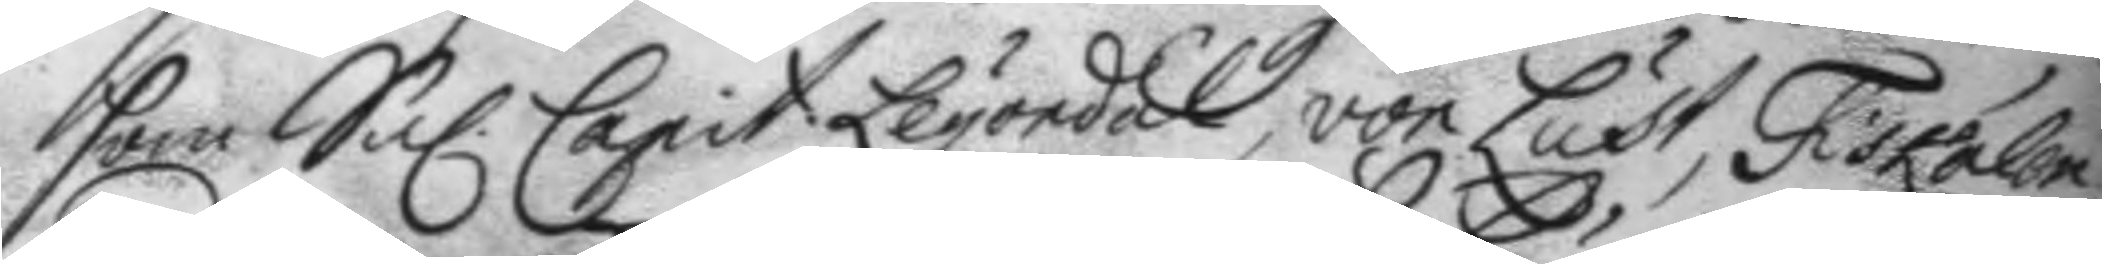som Sal. Capit. Leyondal, von Lust, Fiskalen
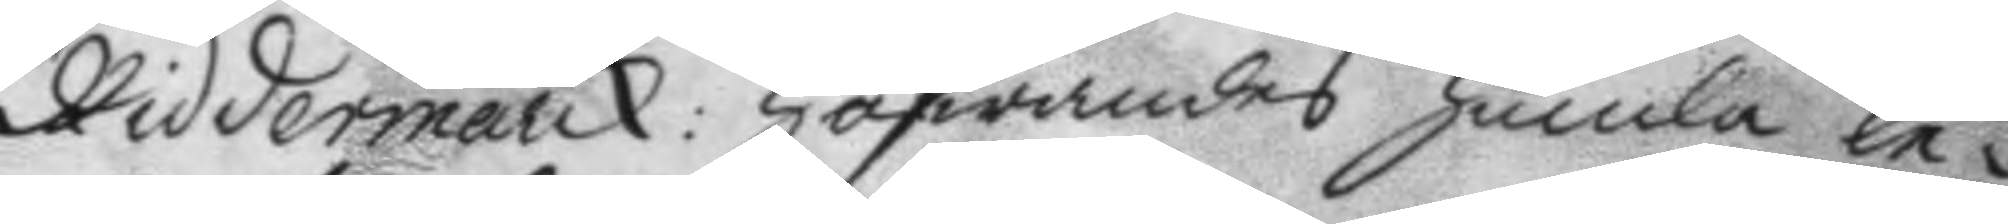Riddermarck: hafwandes humla le¬
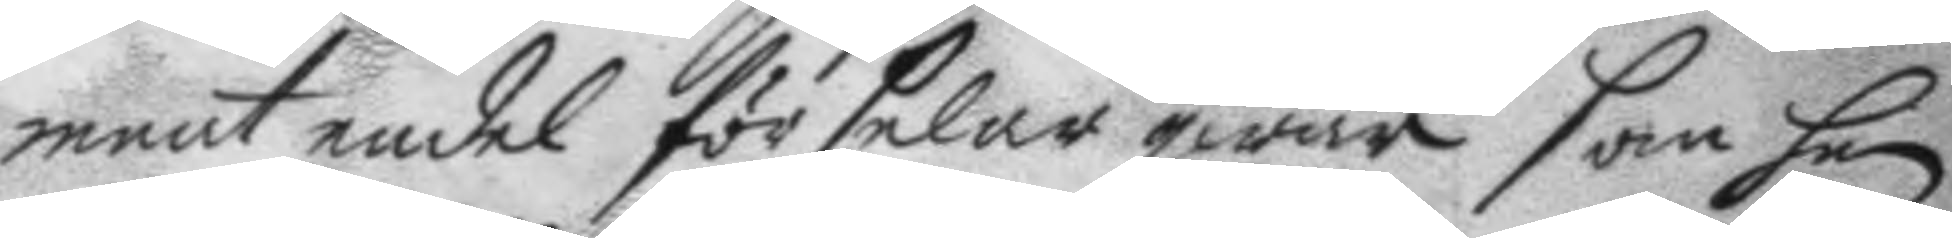mnat endel för selar qwar som han
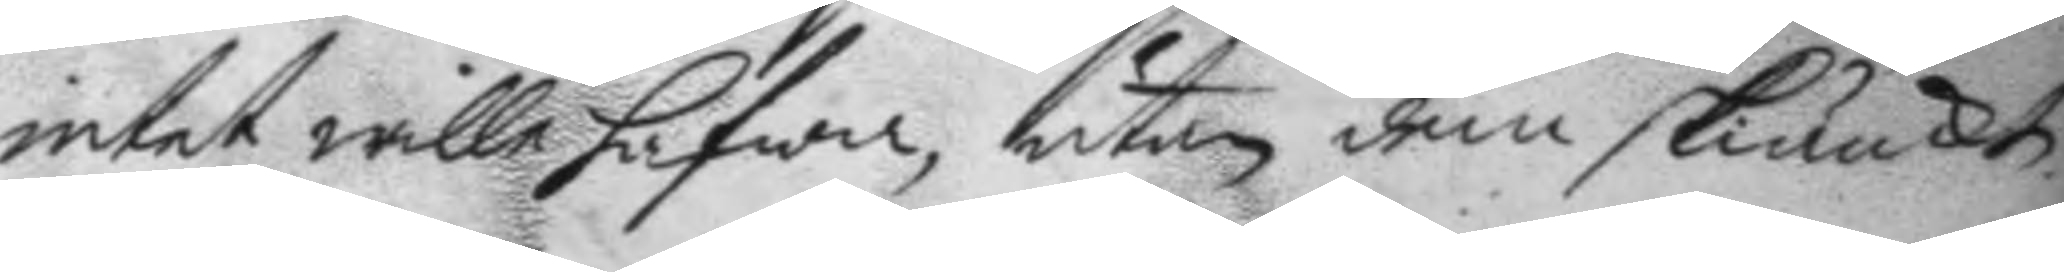intet wille hafwa, utan dem skiänkte
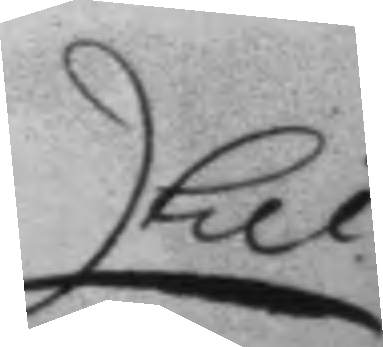till
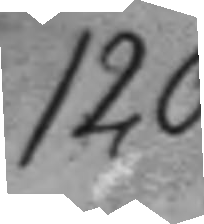120
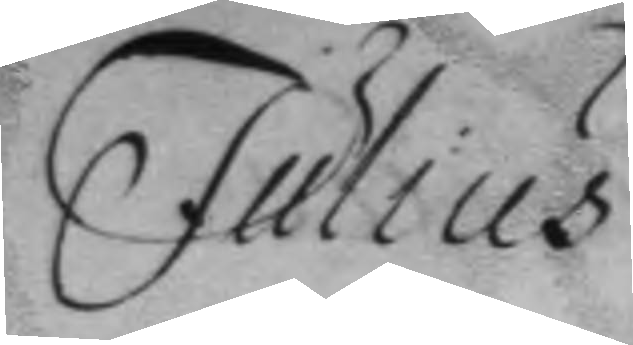Julius
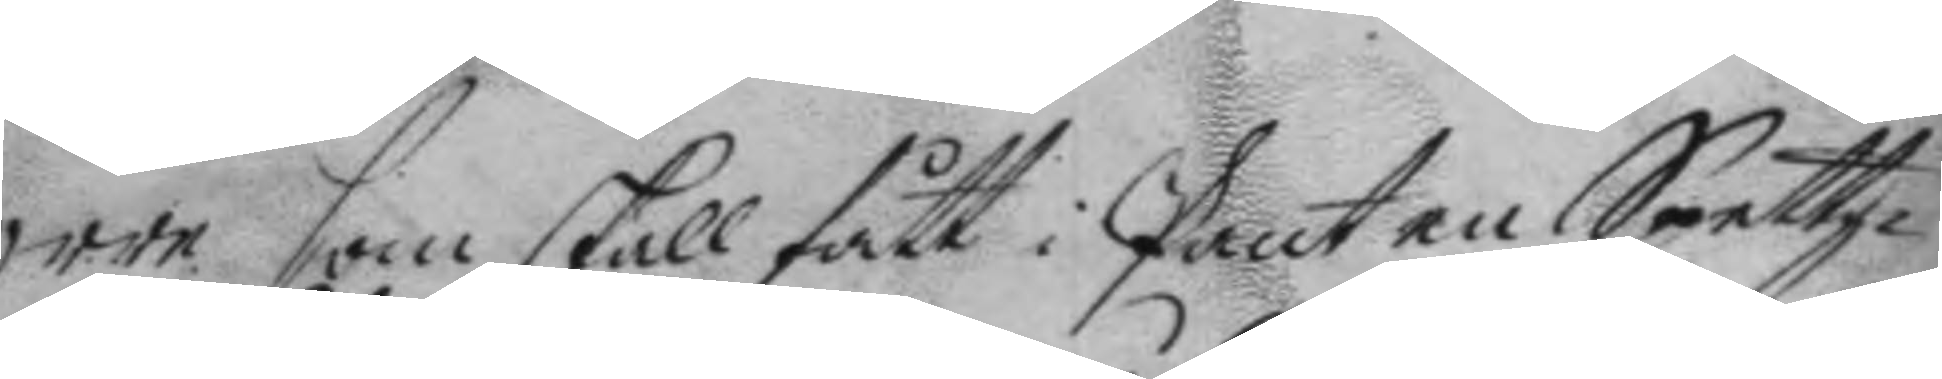Orre som skall fått i Pant en Spettz¬
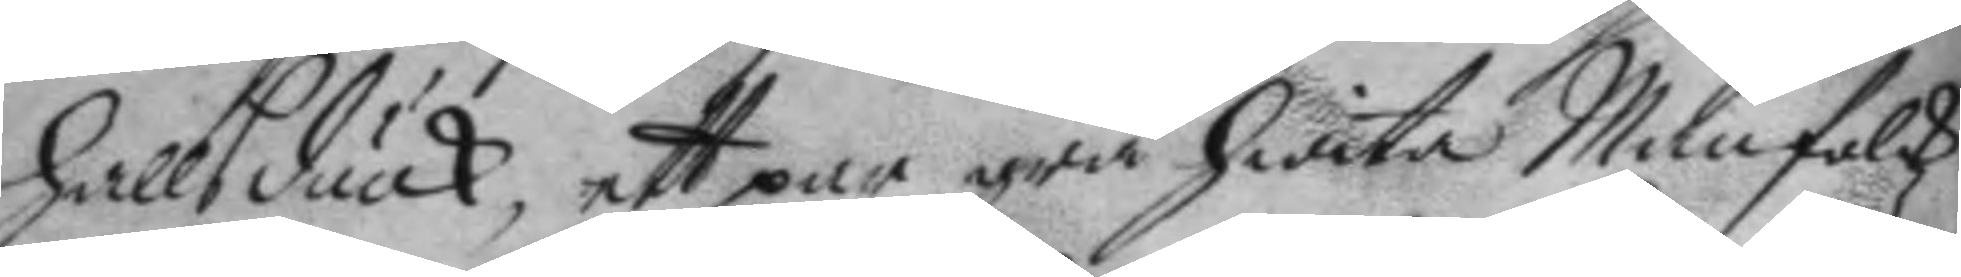hallsduuk, ett par grå hwita Manfolkz
